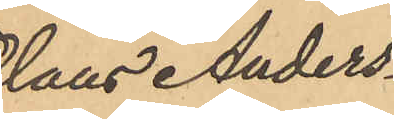Olaus Anders¬
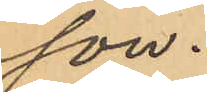son.
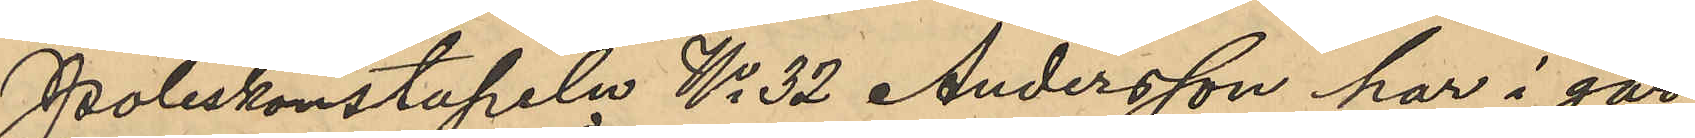Poliskonstapeln No 32 Andersson har i går
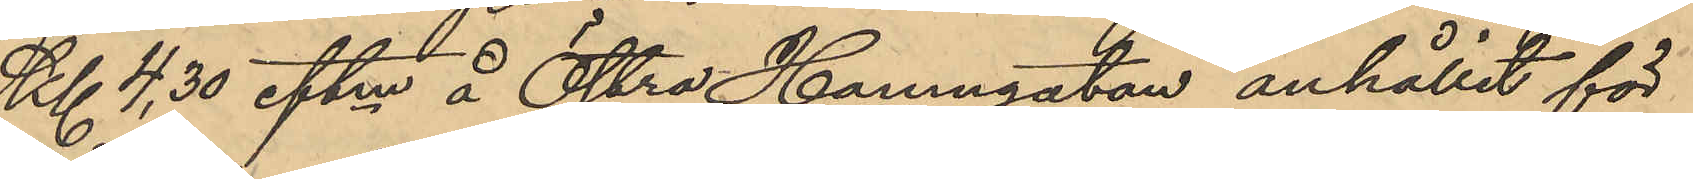Kl 4,30 eftm å Östra Hamngatan anhållit för
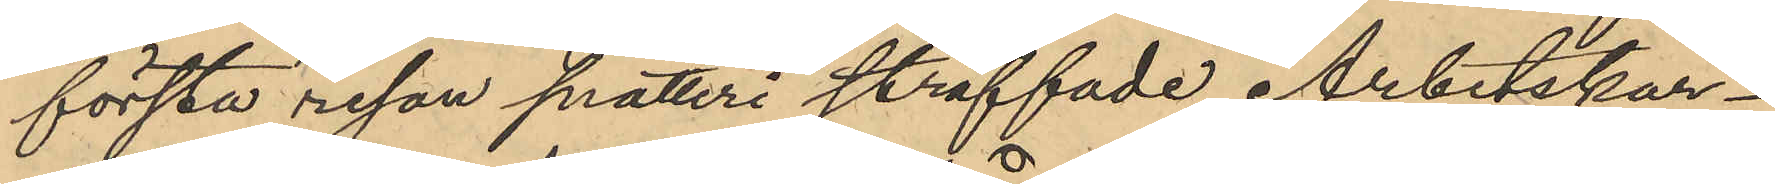första resan snatteri straffade Arbetskar¬
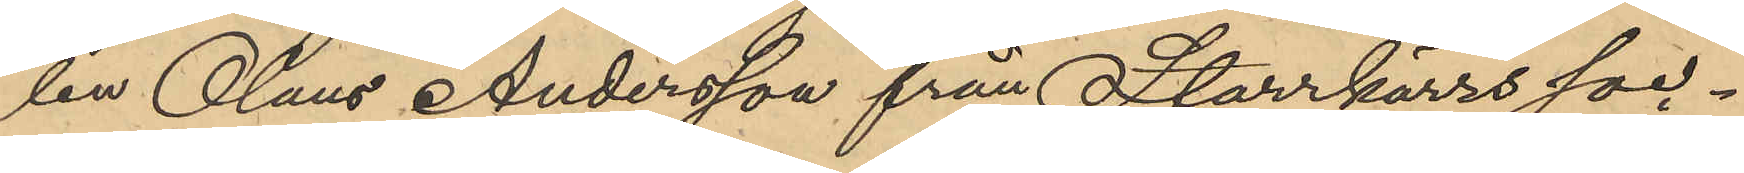len Olaus Andersson från Starrkärrs soc¬
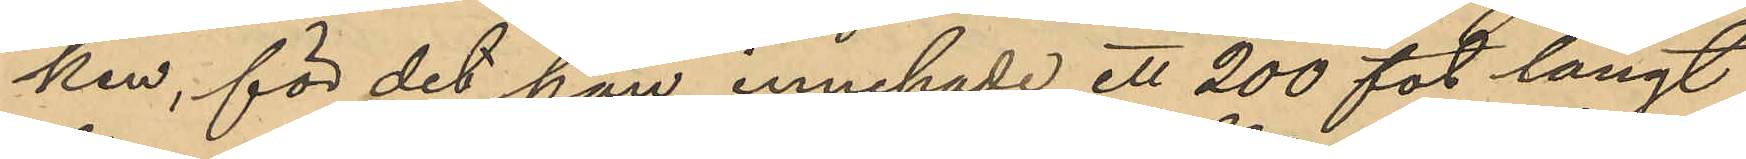ken, för det han innehade ett 200 fot långt
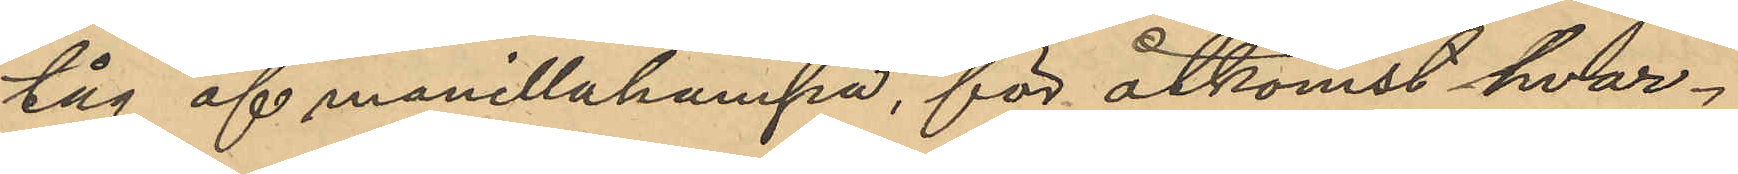tåg af manillahampa, för åtkomst hvar¬
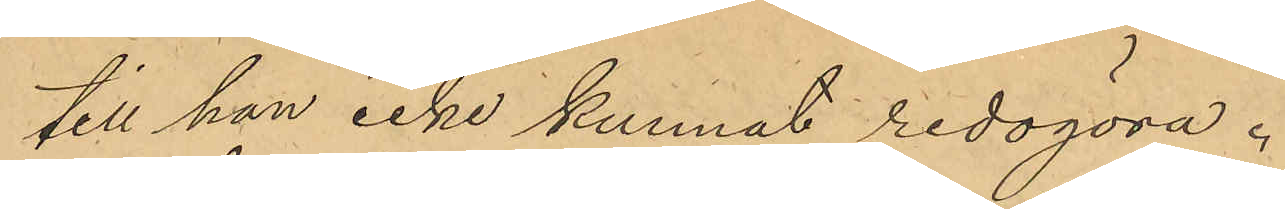till han icke kunnat redogöra.
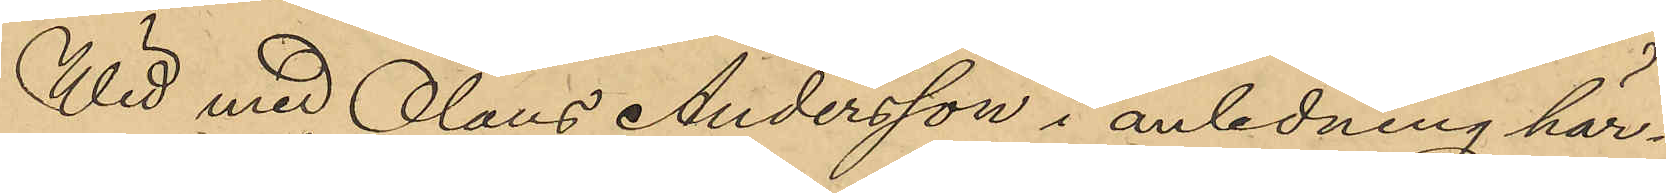Wid med Olaus Andersson i anledning här¬
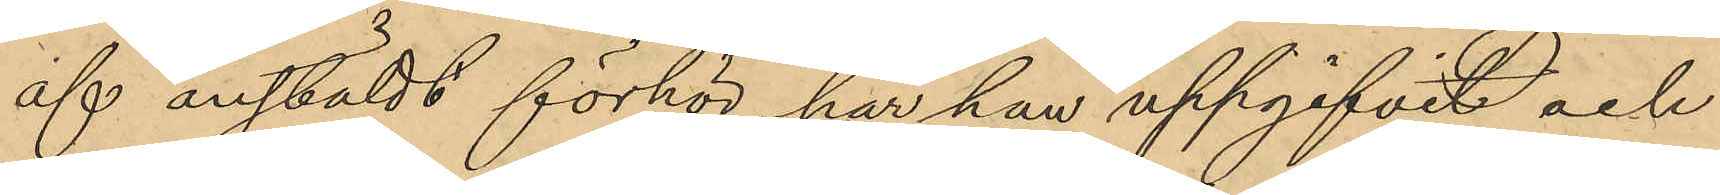af anstäldt förhör, har han uppgifvit och
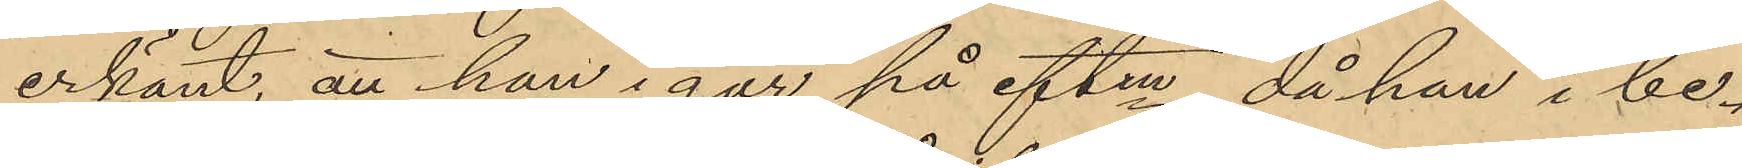erkänt, att han i går på eftm, då han i be¬
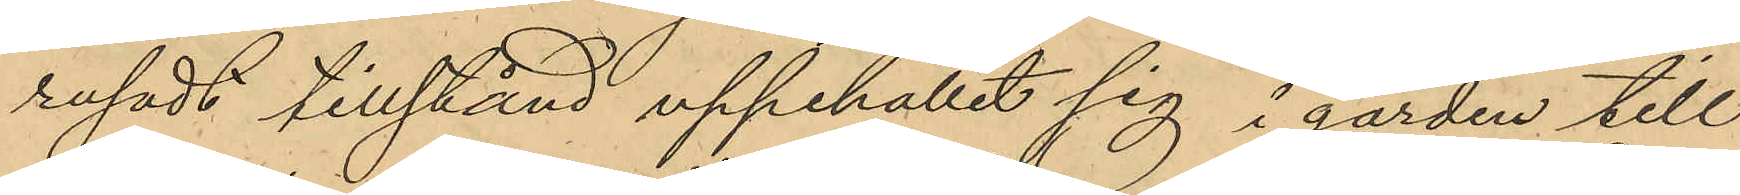rusadt tillstånd uppehållit sig i gården till
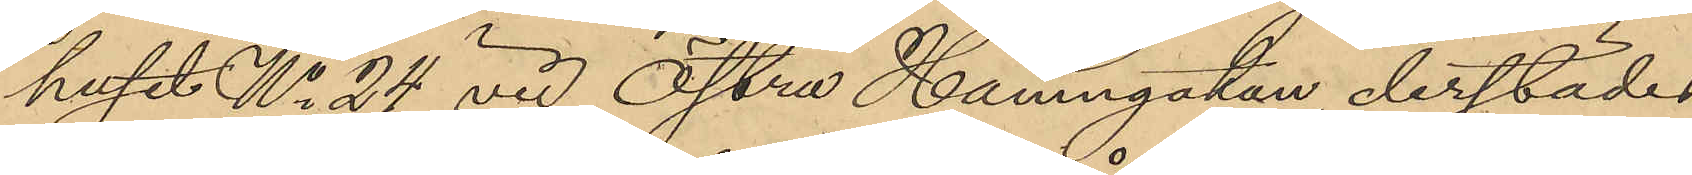huset No 24 vid Östra Hamngatan derstädes
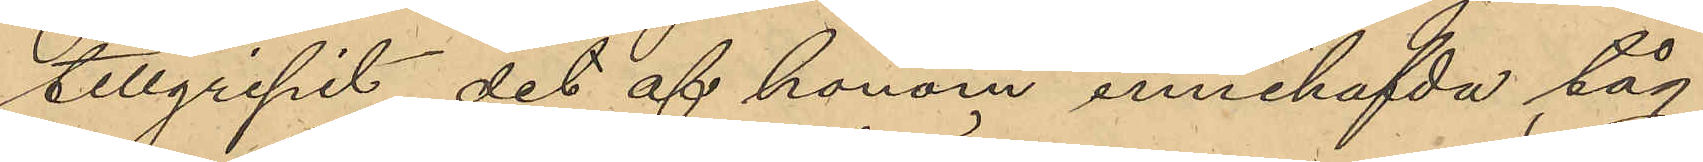tillgripit det af honom innehafvda tåg
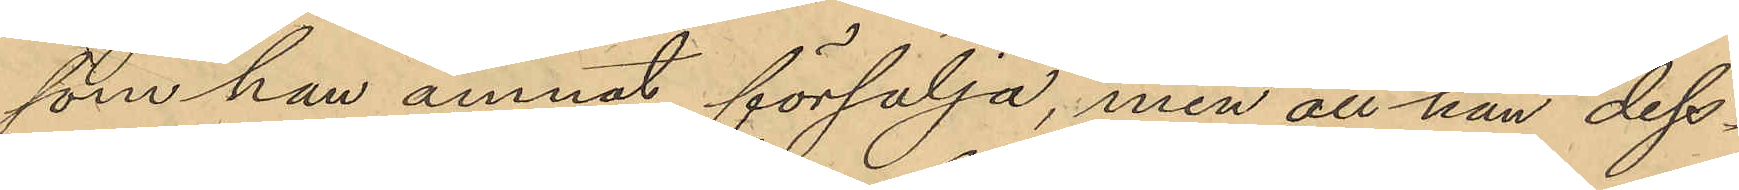som han ämnat försälja, men att han dess¬
